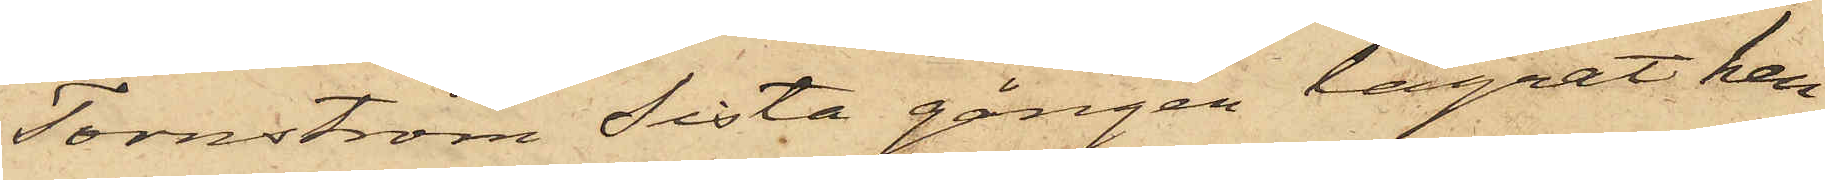Tornström sista gången lägrat hen¬
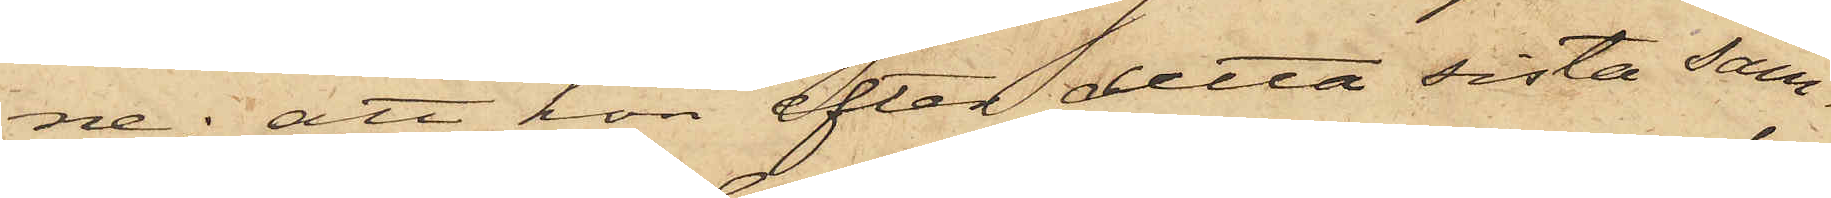ne; att hon efter detta sista sam¬
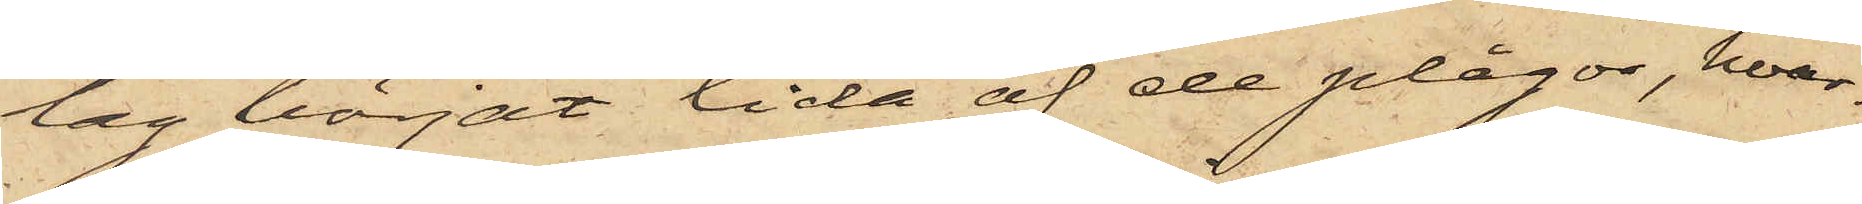lag börjat lida af de plågor, hvar¬
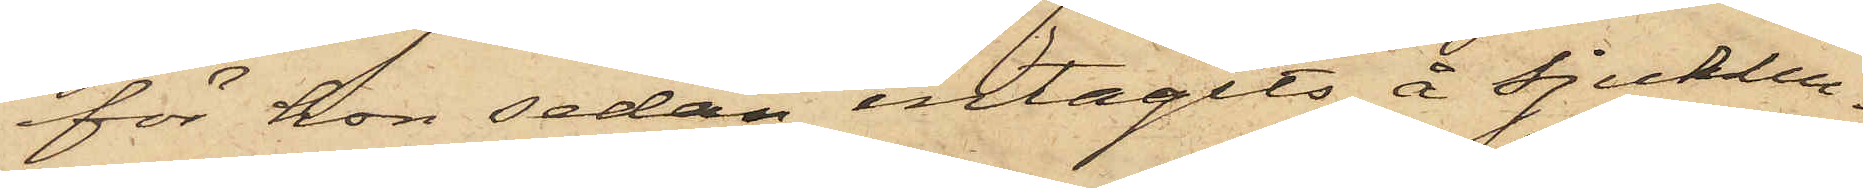för hon sedan intagits å sjukhu¬
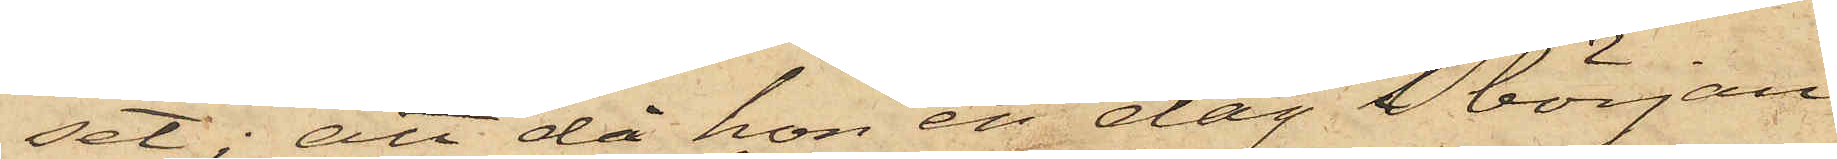set; att då hon en dag i början
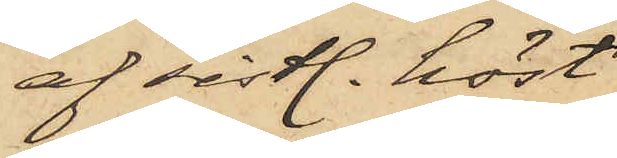af sistl. höst
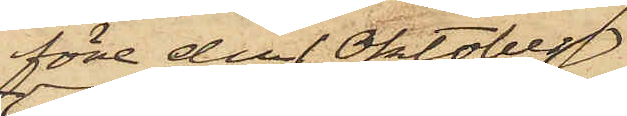före den 1 Oktober
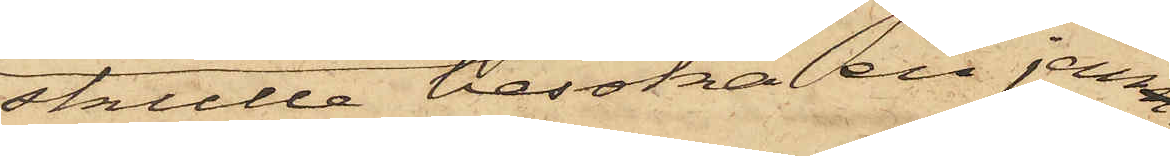skulle besöka en jemn¬
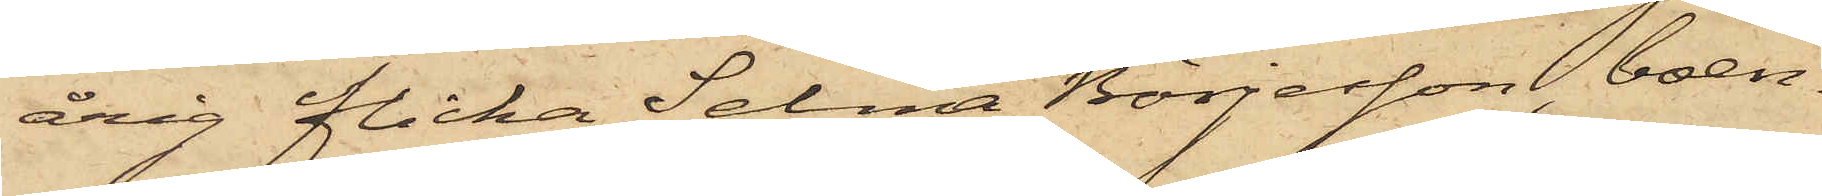årig flicka Selma Börjesson, boen¬
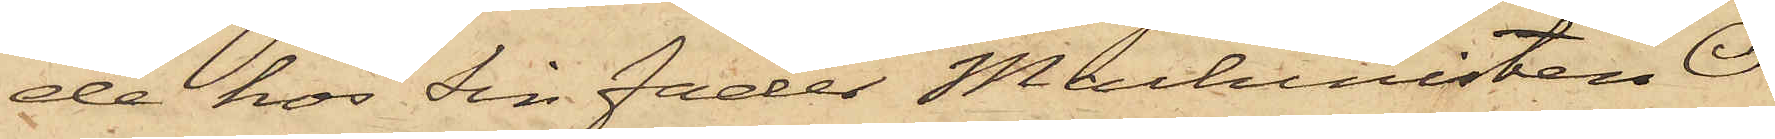de hos sin fader Machinisten O.
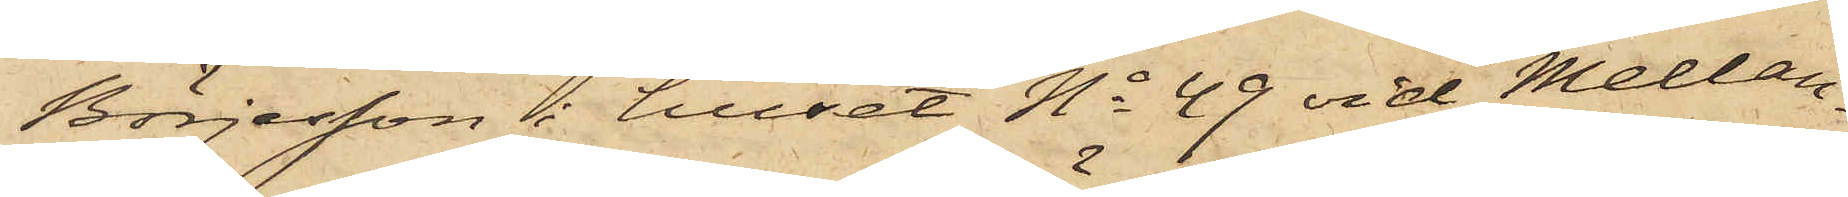Börjesson i huset No 49 vid Mellan¬
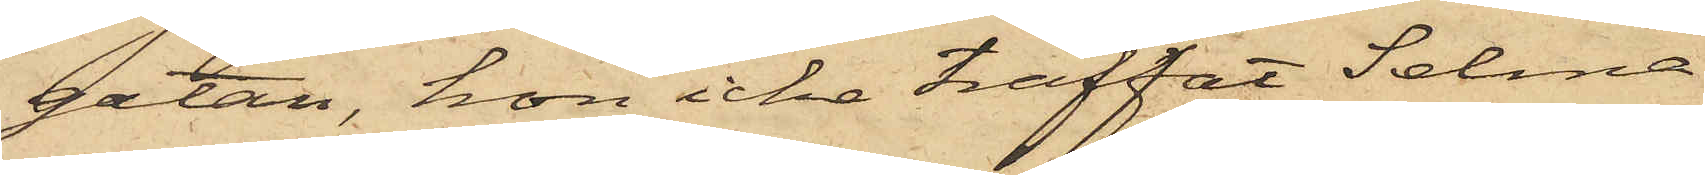gatan, hon icke träffat Selma
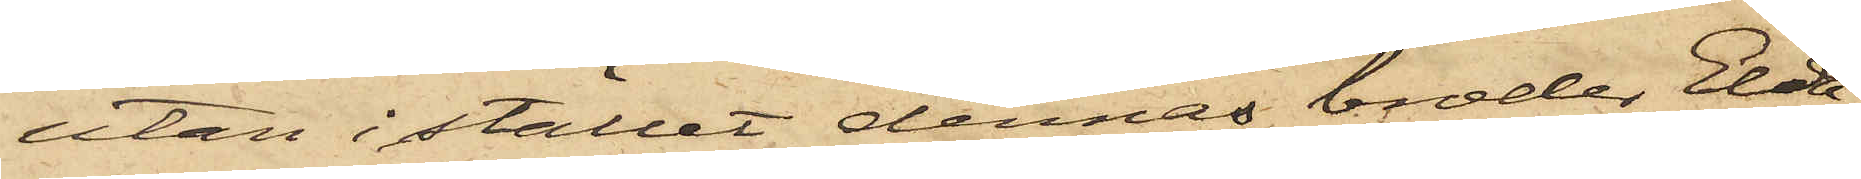utan i stället dennas broder Elda¬
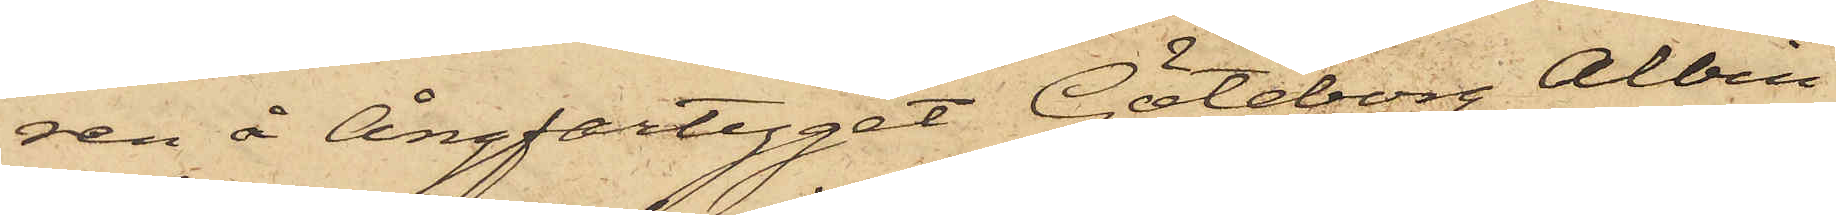ren å Ångfartyget Göteborg Albin
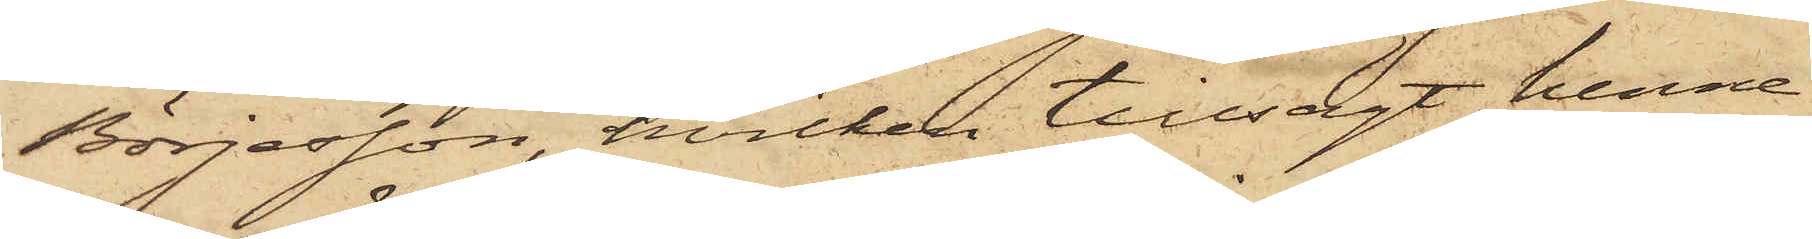Börjesson, hvilken tillsagt henne
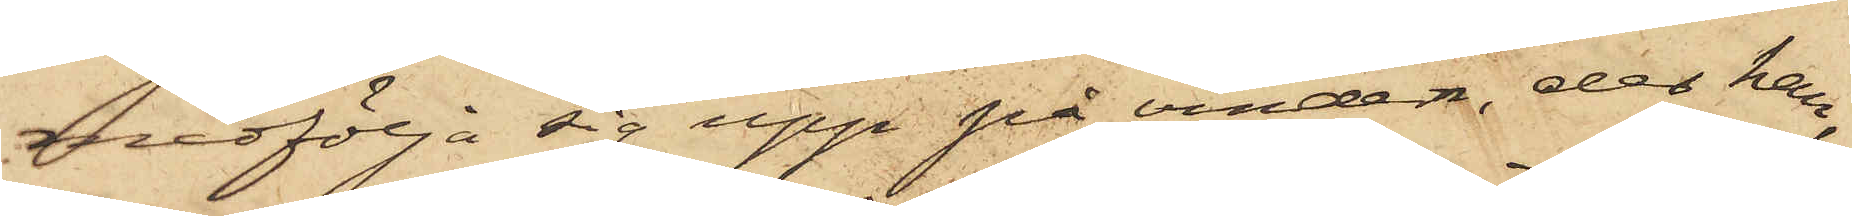medfölja sig upp på vinden, der han,
